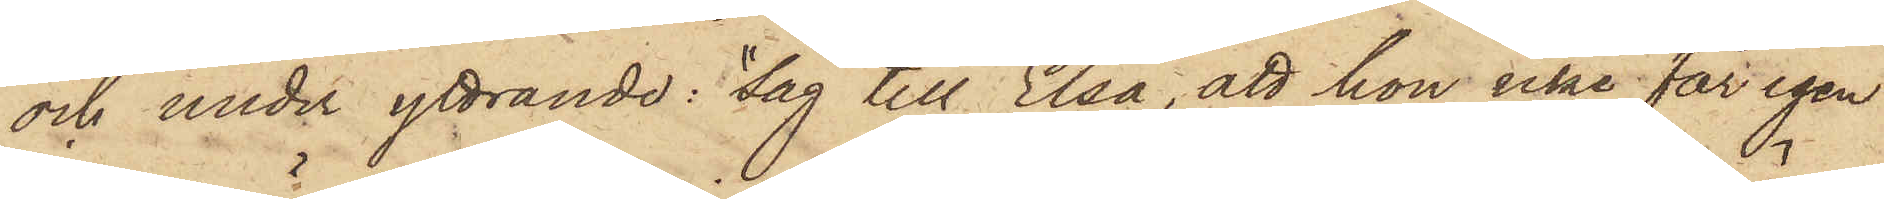och under yttrande: "Säg till Elsa, att hon icke får igen
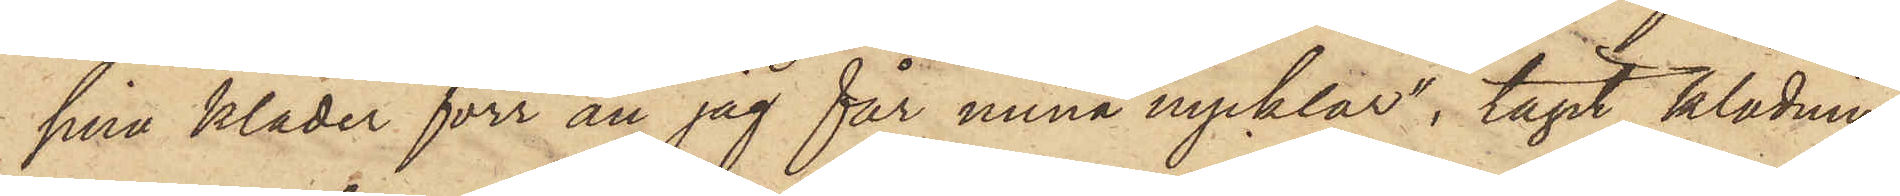sina kläder förr än jag får mina nycklar", tagit klädnin¬
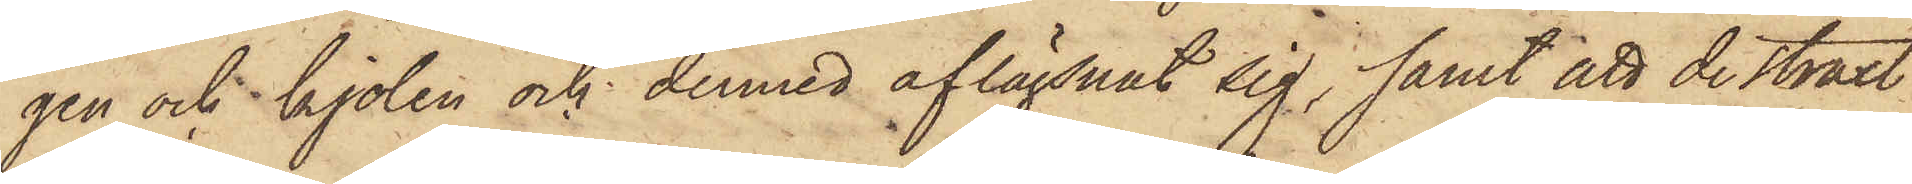gen och kjolen och dermed aflägsnat sig; samt att de straxt
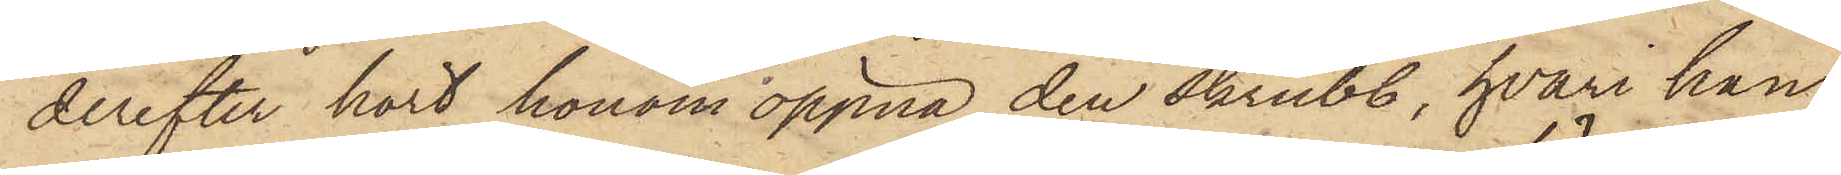derefter hört honom öppna den skrubb, hvari han
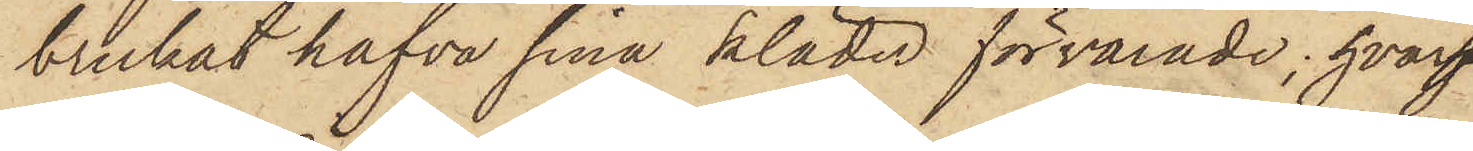brukat hafva sina kläder förvarade; hvar¬
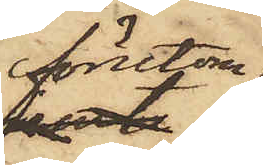förutom
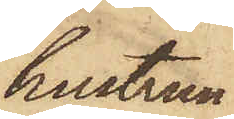hustrun
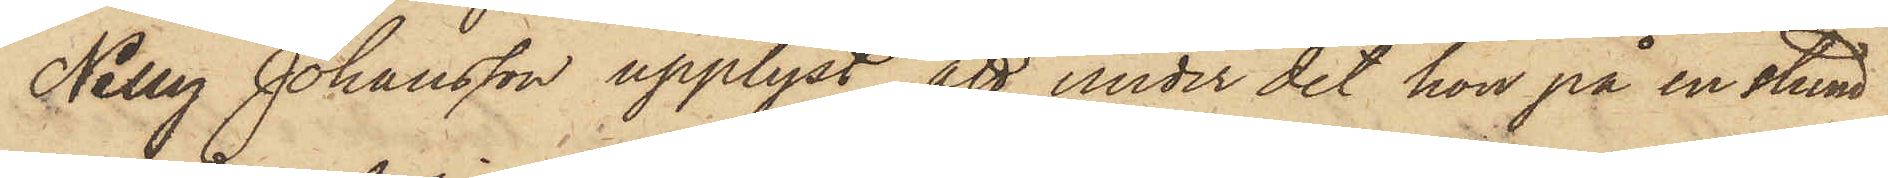Nelly Johansson upplyst, att under det hon på en stund
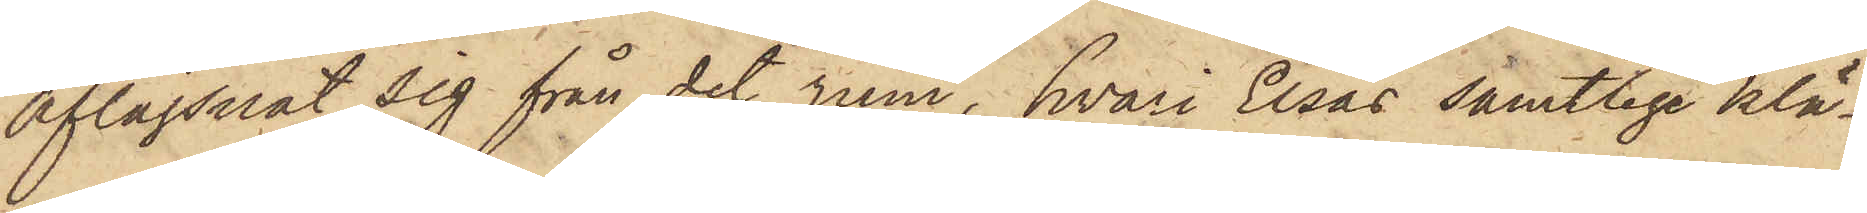aflägsnat sig från det rum, hvari Elsas samtlige klä¬
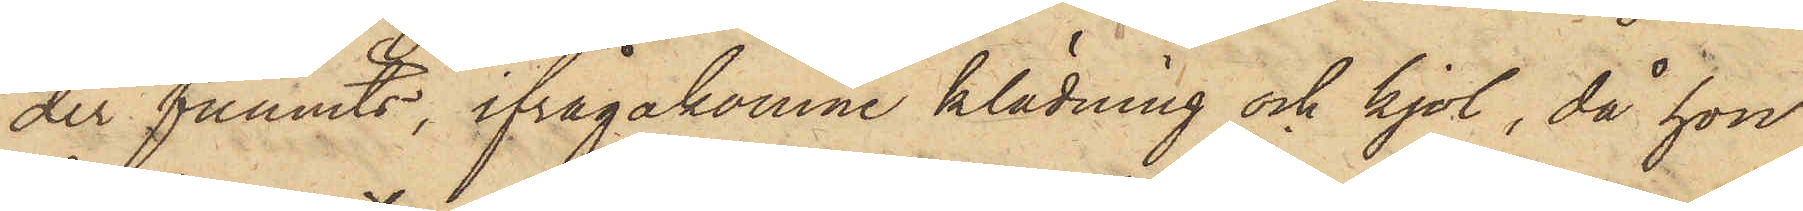der funnits, ifrågakomne klädning och kjol, då hon
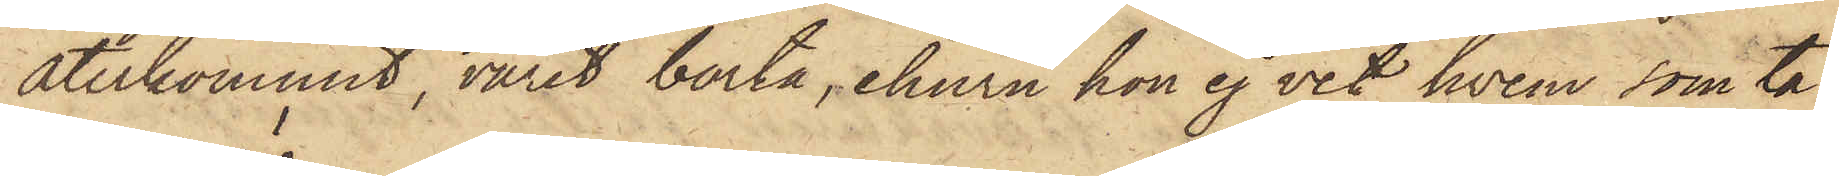återkommit, varit borta, ehuru hon ej vet hvem, som ta¬
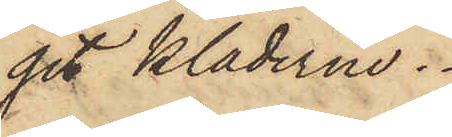git kläderne.
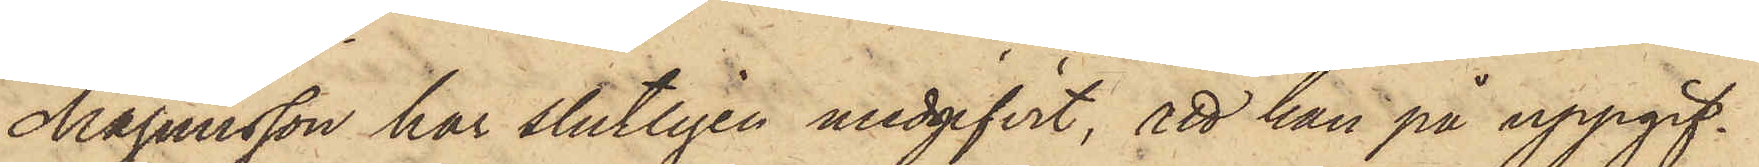Magnusson har slutligen medgifvit, att han på uppgif¬
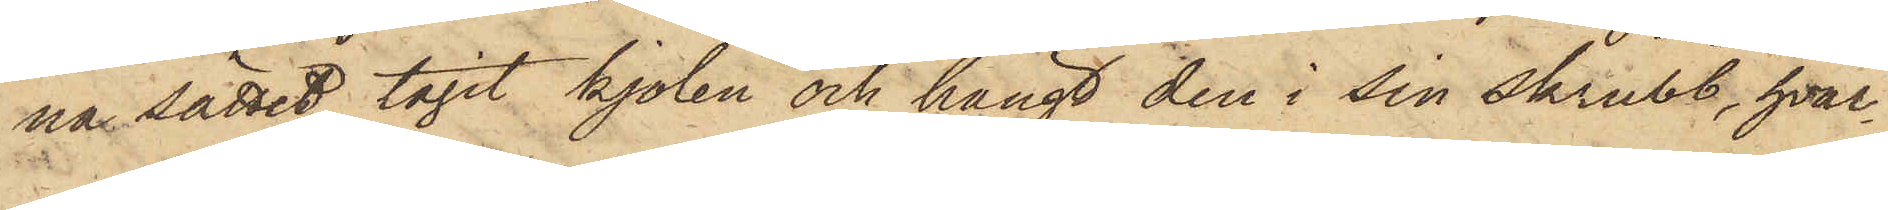na sättet tagit kjolen och hängt den i sin skrubb, hvar¬
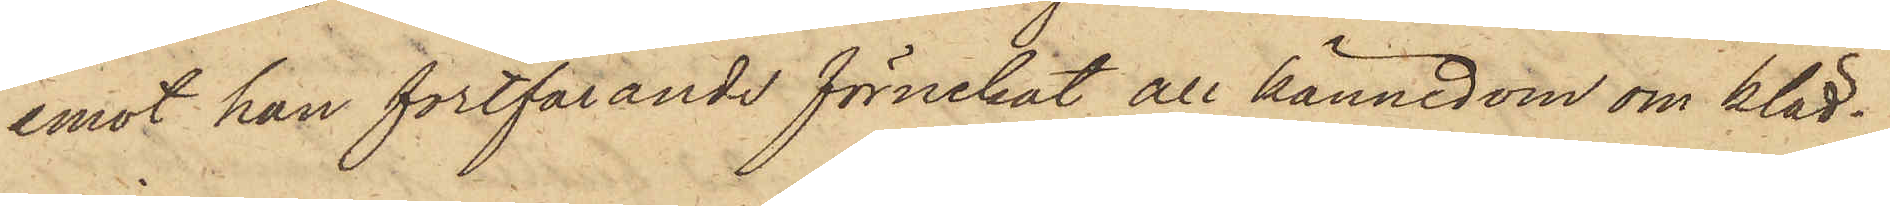emot han fortfarande förnekat all kännedom om kläd¬
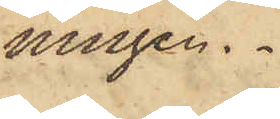ningen.
